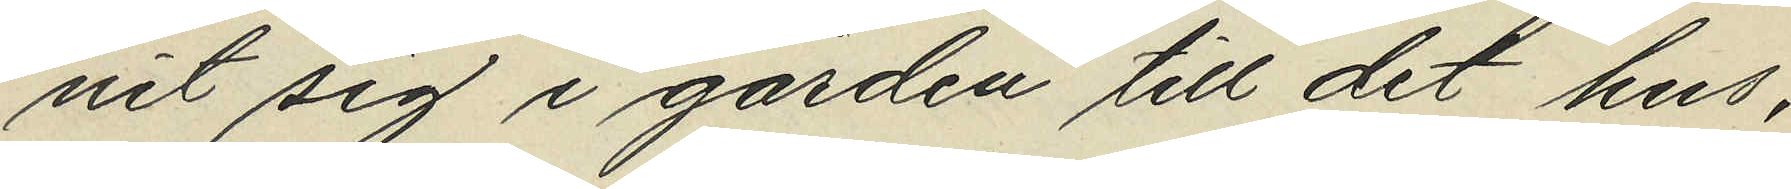nit sig i gården till det hus,
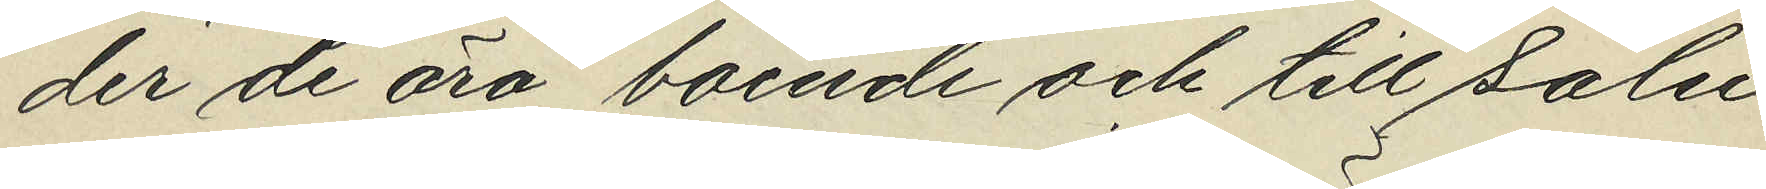der de äro boende och till salu
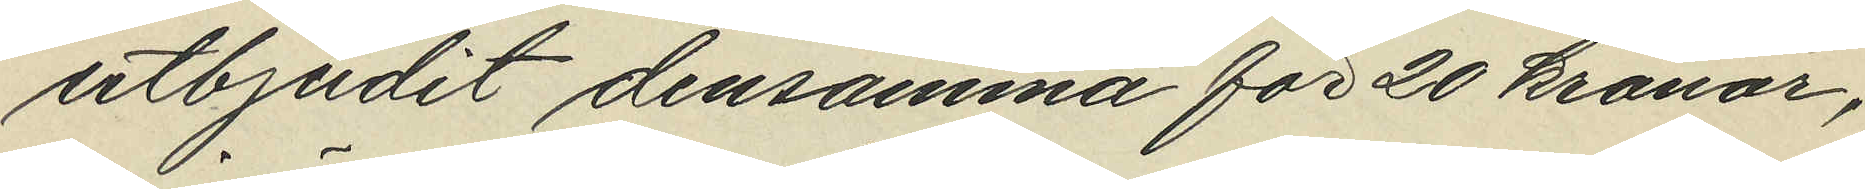utbjudit densamma för 20 kronor,
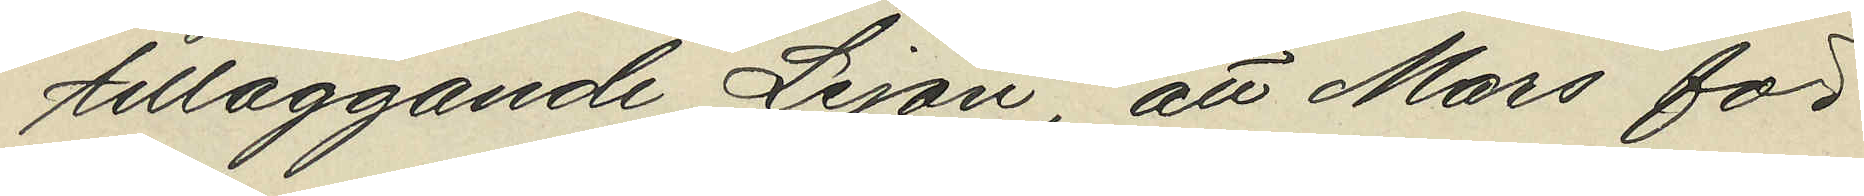tilläggande Lejon, att Mars för
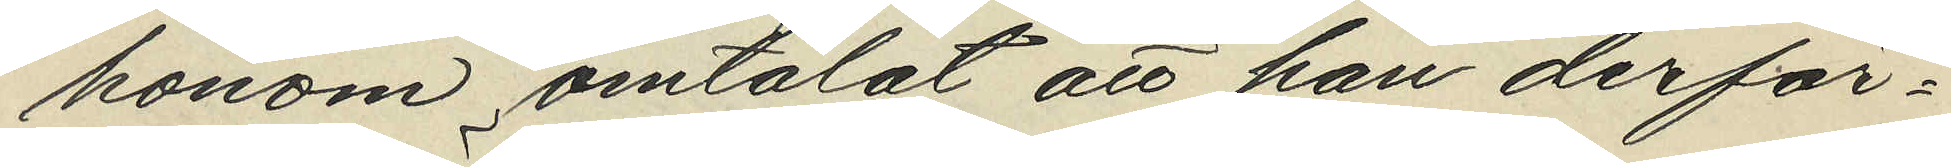honom omtalat att han derför¬
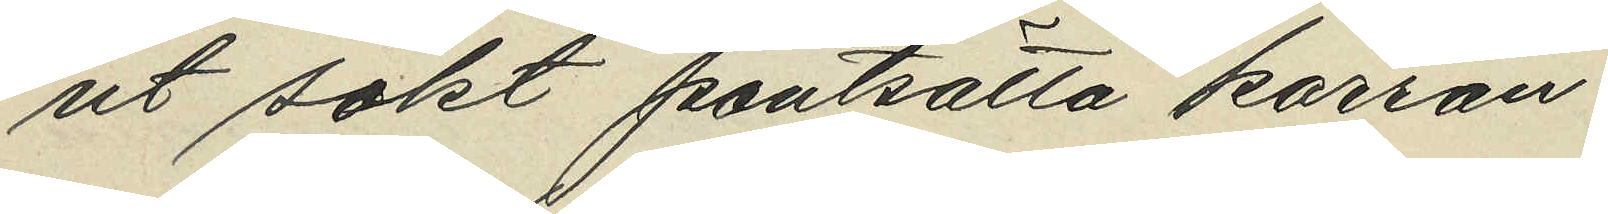ut sökt pantsätta kärran.
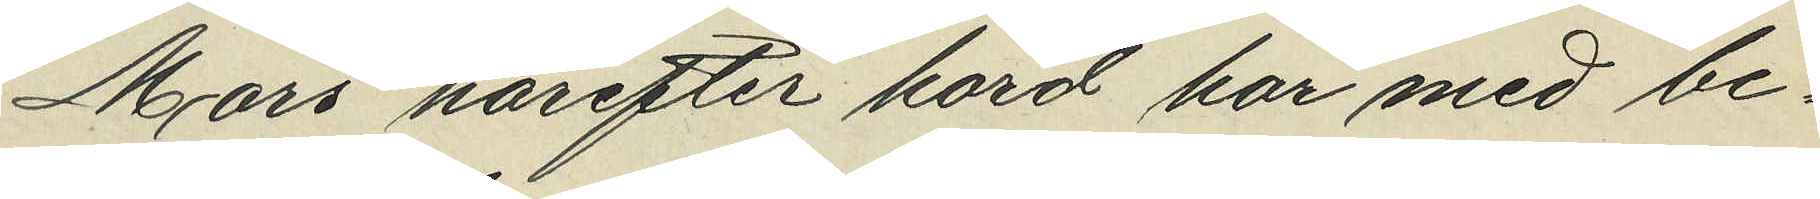Mars härefter hörd har med be¬
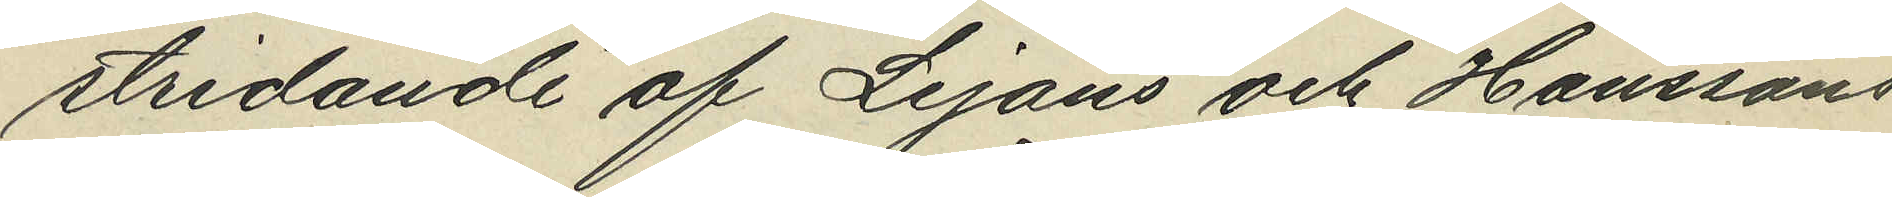stridande af Lejons och Hanssons
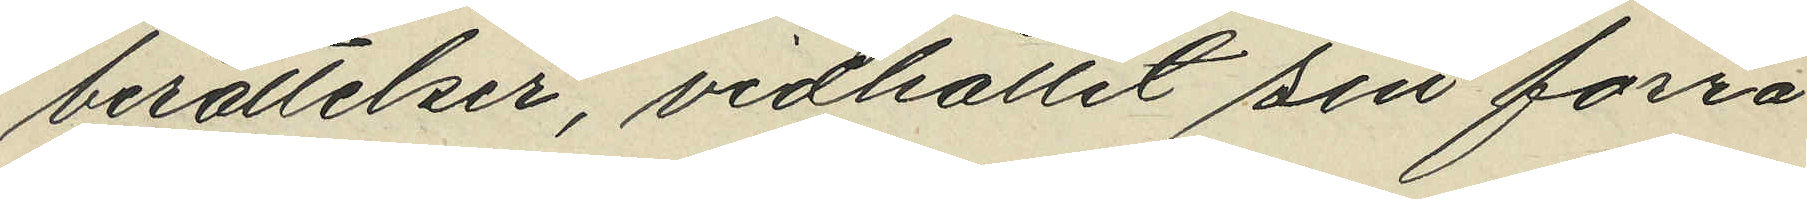berättelser, vidhållit sin förra
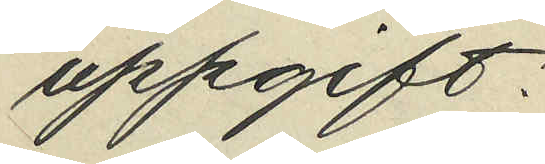uppgift.
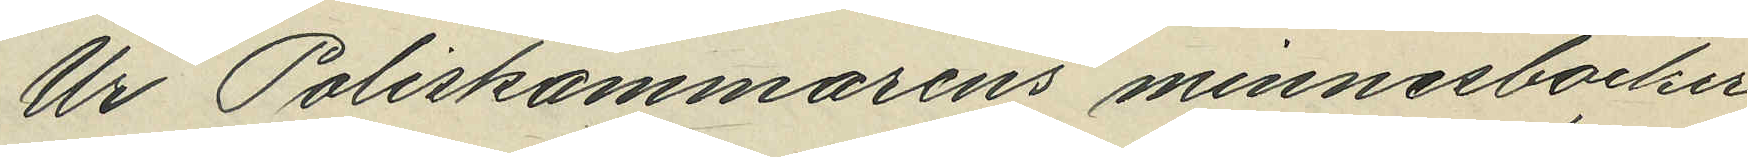Ur Poliskammarens minnesböcker
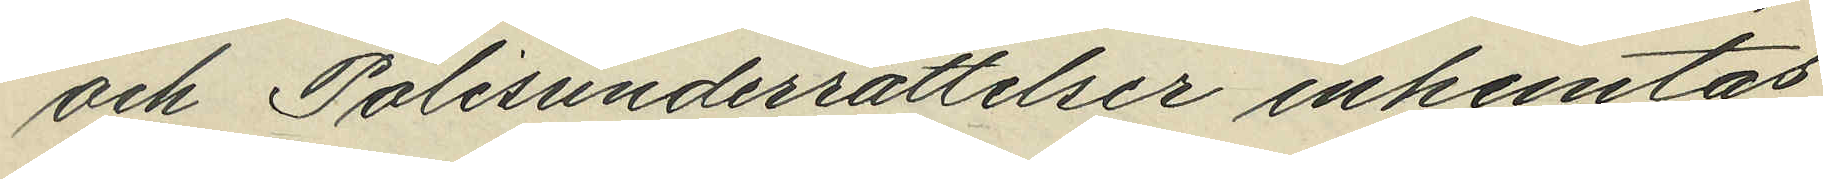och Polisunderrättelser inhemtas
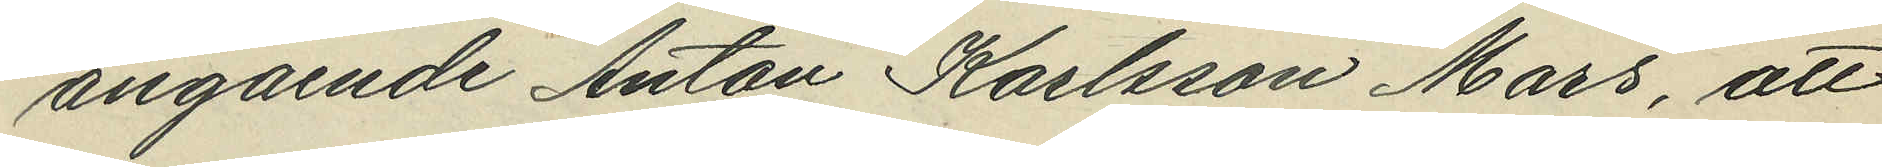angående Anton Karlsson Mars, att
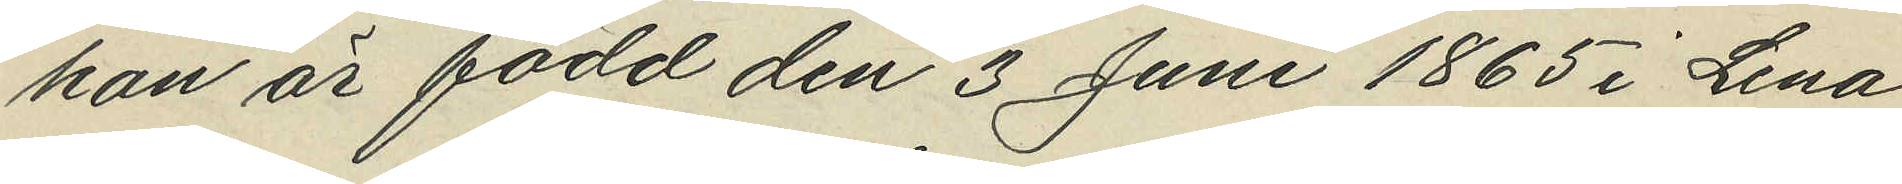han är född den 3 Juni 1865 i Lena
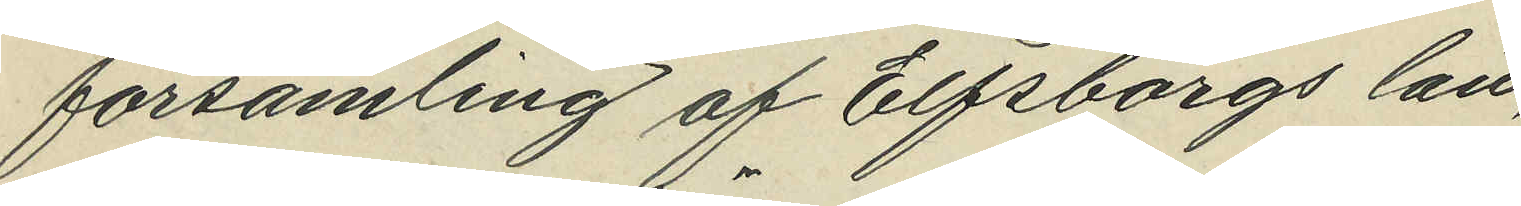församling af Elfsborgs län,
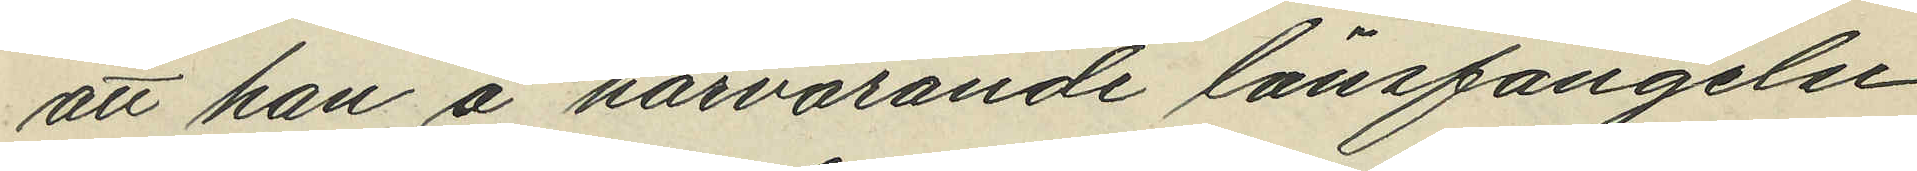att han å härvarande länsfängelse
